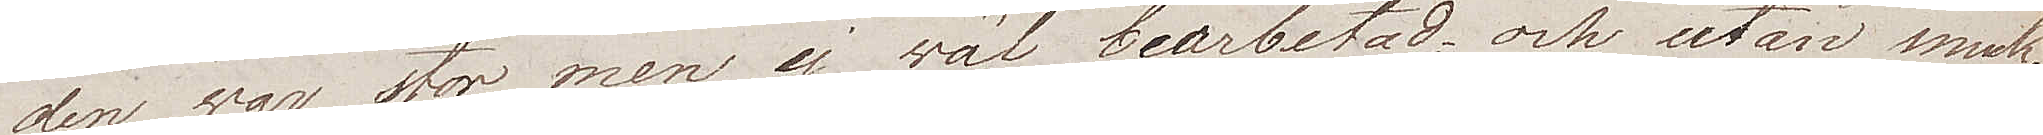den war stor men ej wäl bearbetad och utan smak.
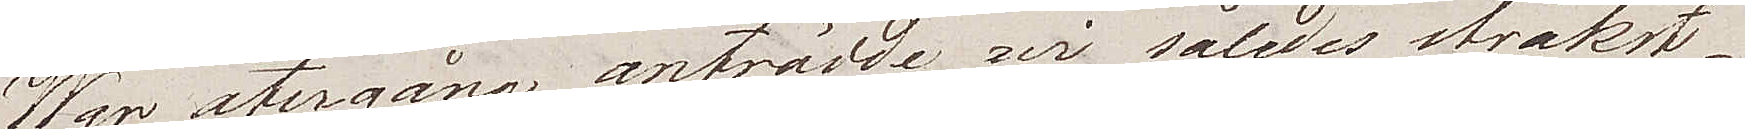Wår återgång anträdde wi således strakst.
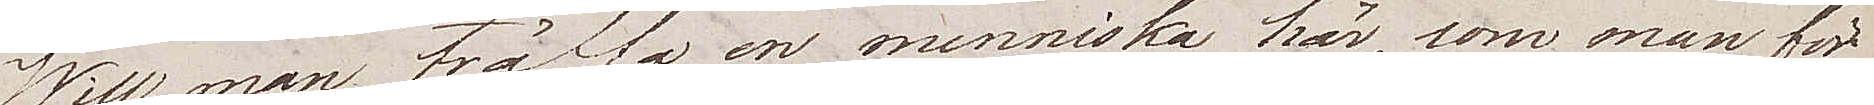Will man träffa en menniska här, som man för¬
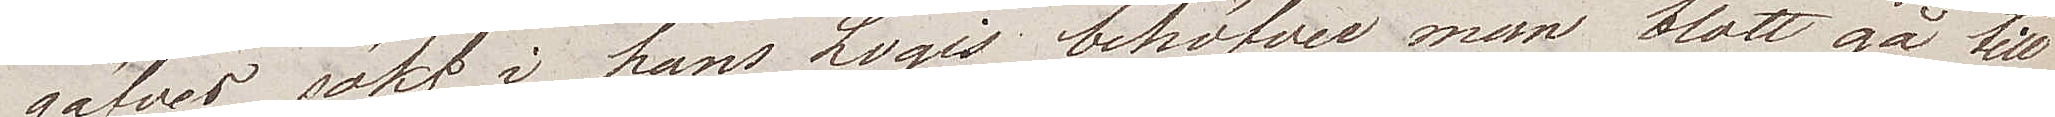gäfves sökt i hans Logis, behöfver man blott gå till
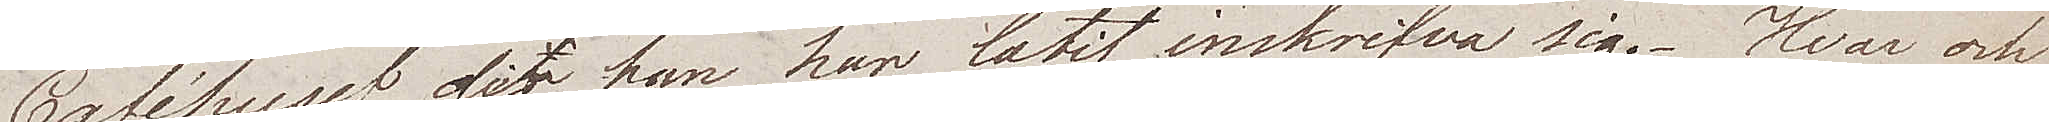Caféhuset, der han har låtit inskrifva sig. Hvar och
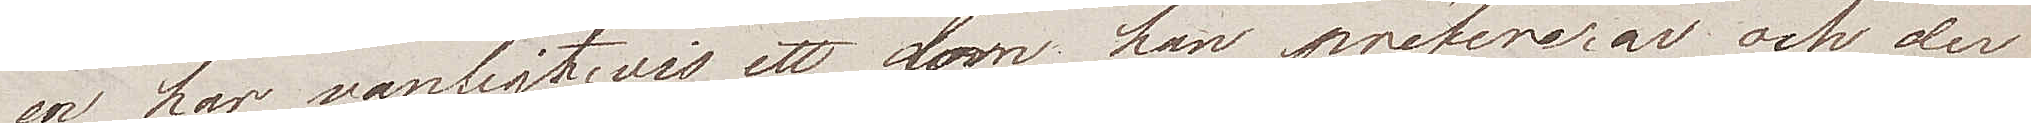en har vanligtvis ett som han prefererar och der
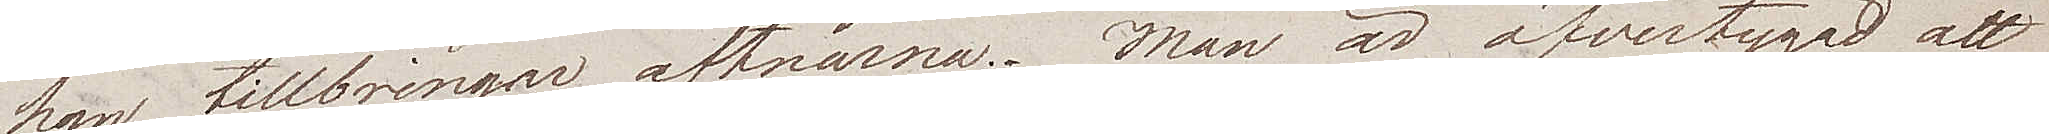han tillbringar aftnarna. Man är öfvertygad att
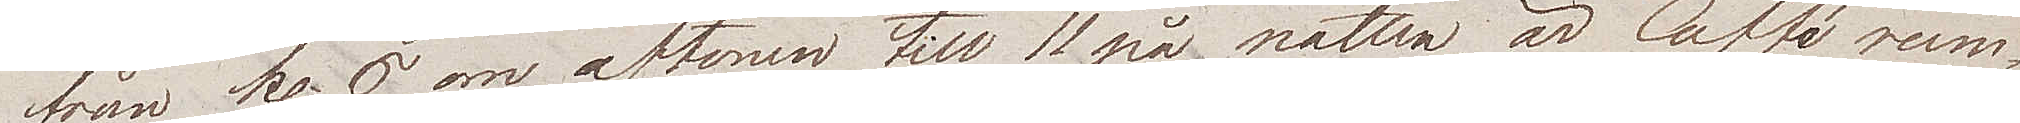från kl. 6 om aftonen till 11 på natten, är Cafférum¬
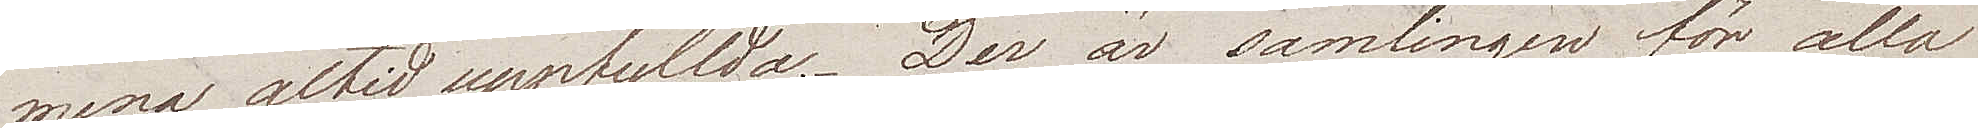mena altid uppfyllda. Der är samlingen för alla
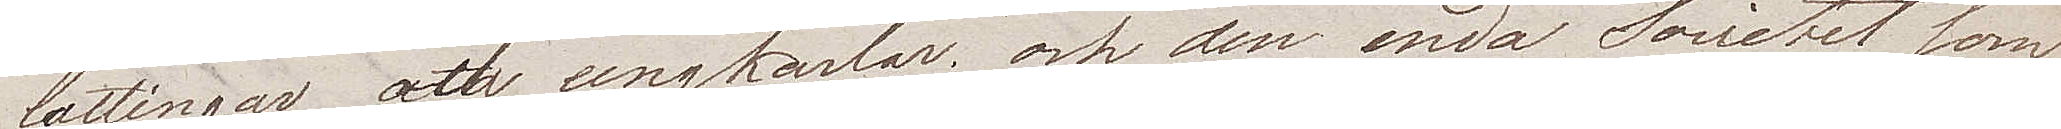lättingar och ungkarlar; och den enda Societet som
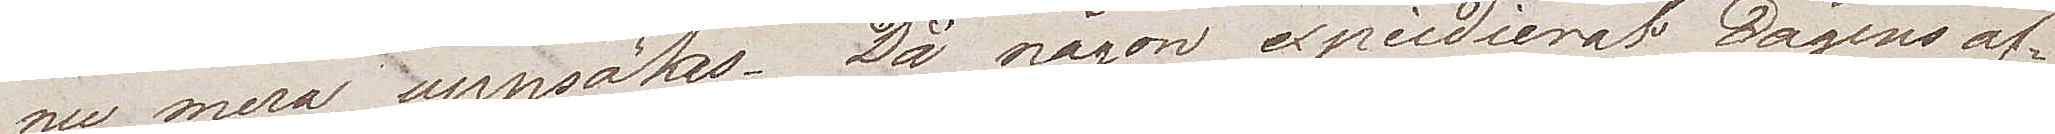nu mera uppsökes. Då någon expedierat Dagens af¬
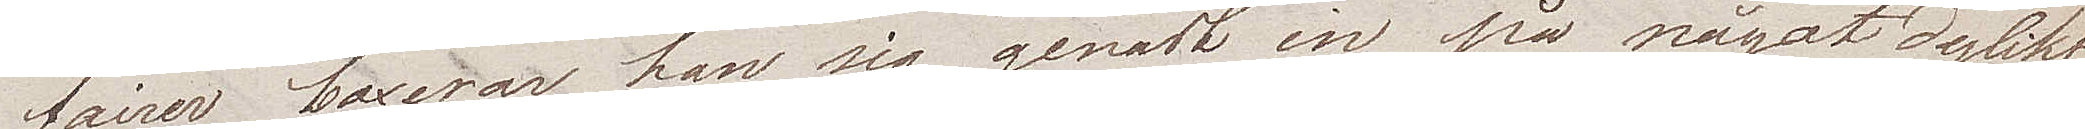fairer, boxerar han sig genast in på något dylikt
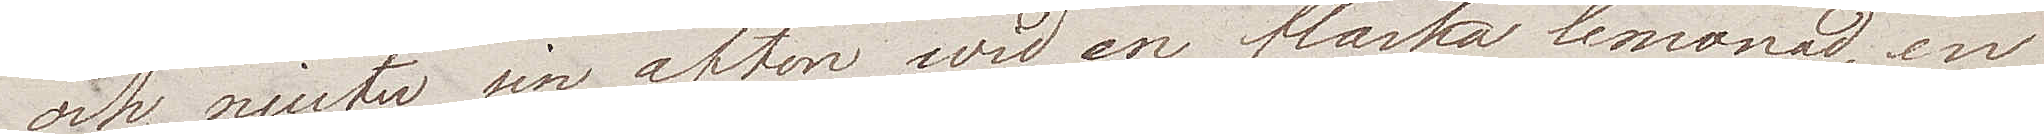och njuter sin afton wid en flaska lemonad, en
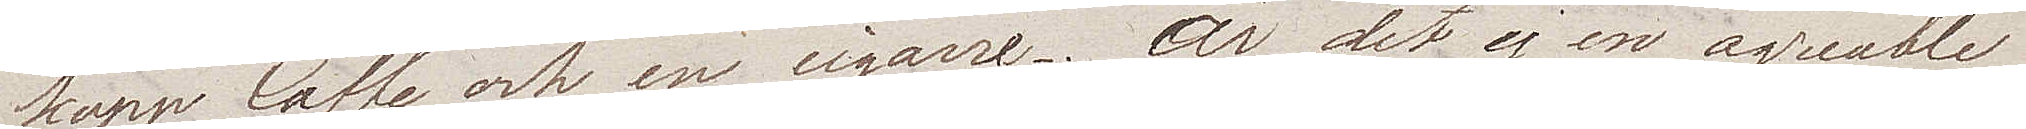kopp Caffe och en cigarre. Är det ej en agreable
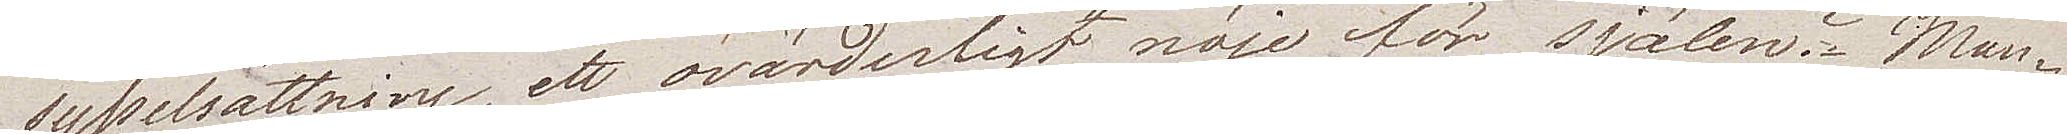sysselsättning, ett ovärderligt nöje för själen? Man¬
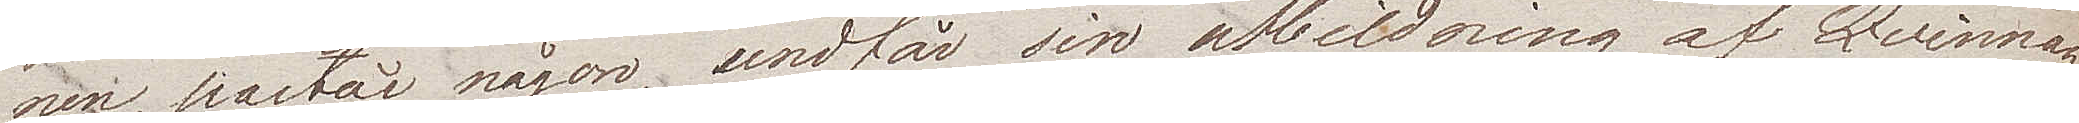nen, påstår någon, undfår sin utbildning af Qvinnan,
